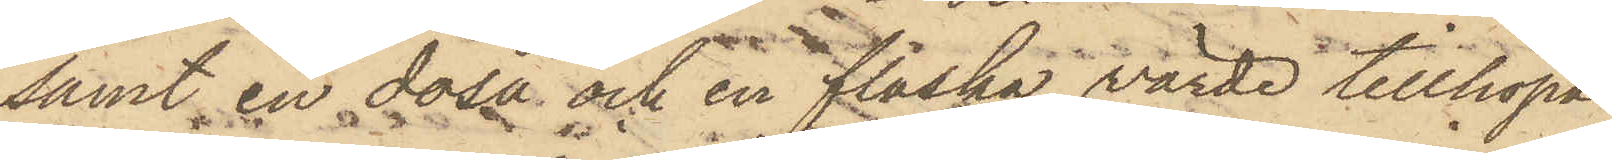samt en dosa och en flaska värde tillhopa
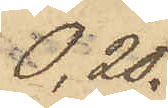0,20.
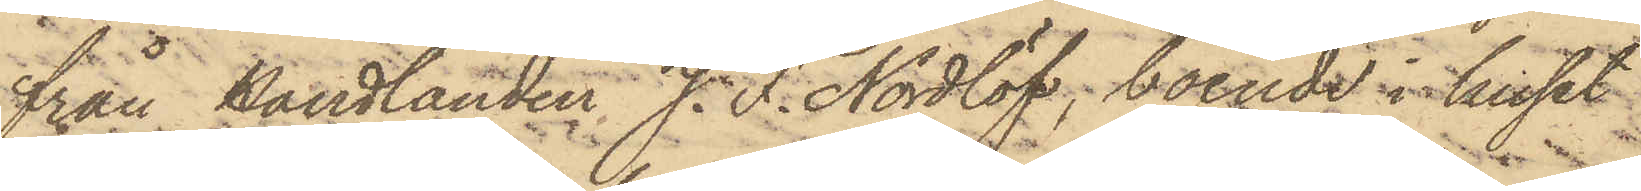från handlanden J. F. Nordlöf, boende i huset
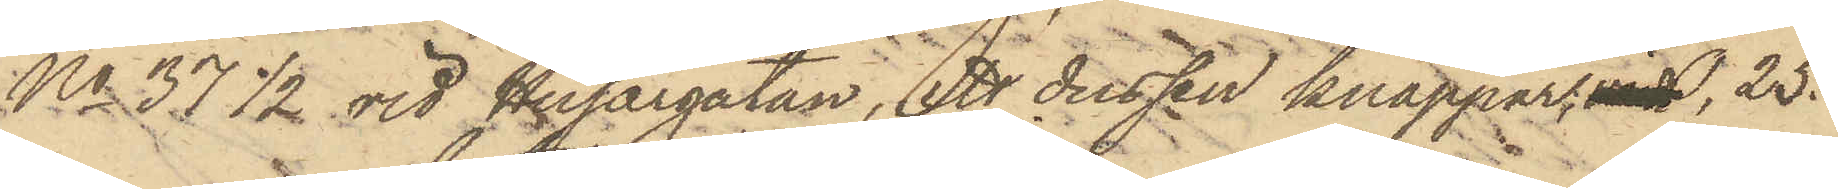No 37 1/2 vid Husargatan, ett dussin knappar, 0,25.
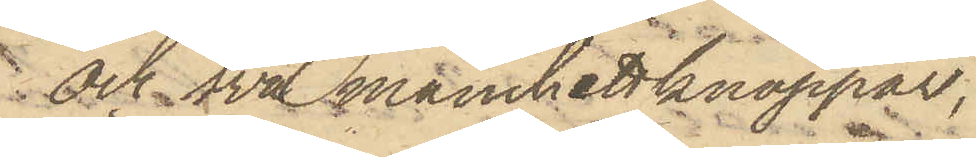och två manchettknappar,
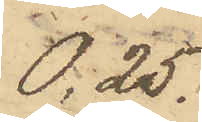0,25.
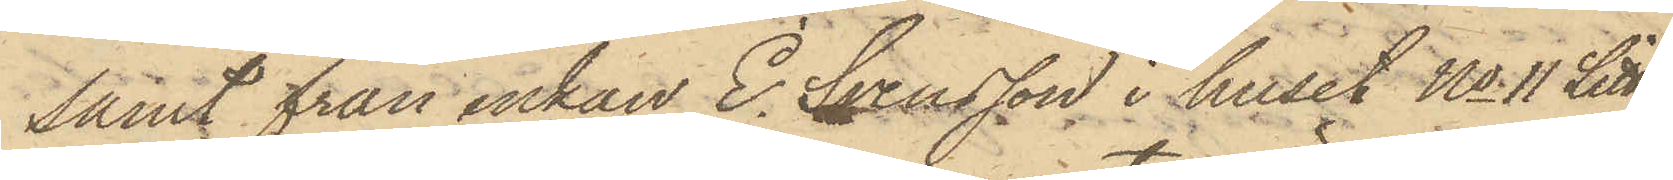samt från enkan E. Svensson i huset No 11 Litt
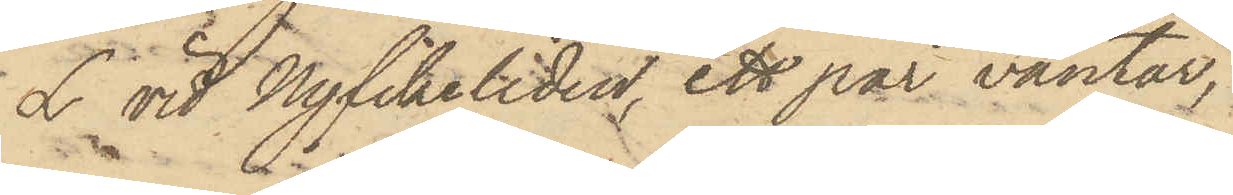L vid Nyfikeliden, ett par vantar,
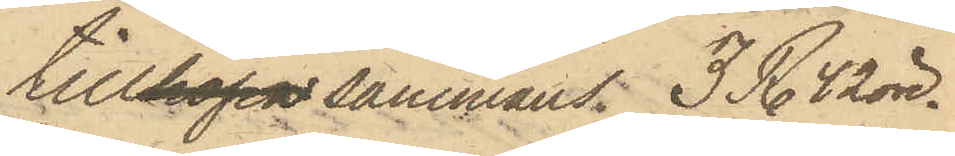tillhopasammans 3 R. 42 öre.
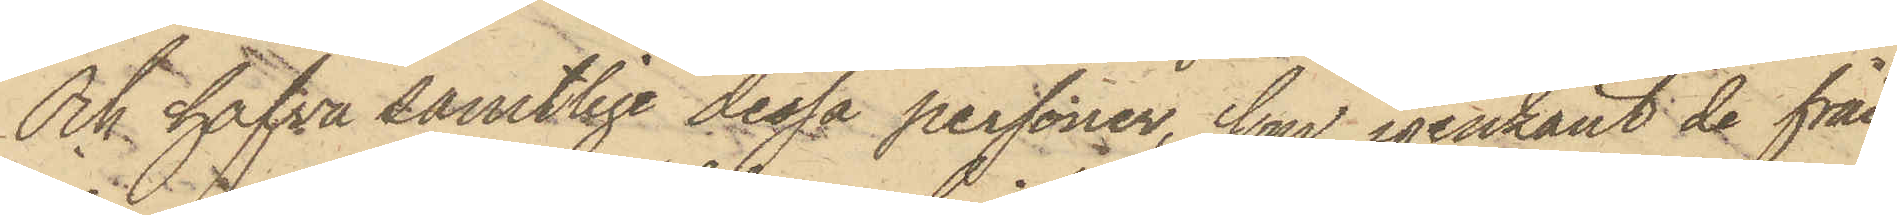Och hafva samtlige dessa personer, som igenkänt de från
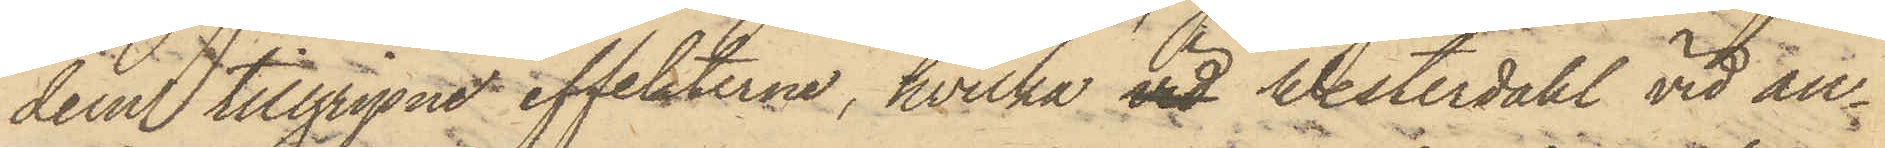dem tillgripne effekterne, hvilka vid Westerdahl vid an¬
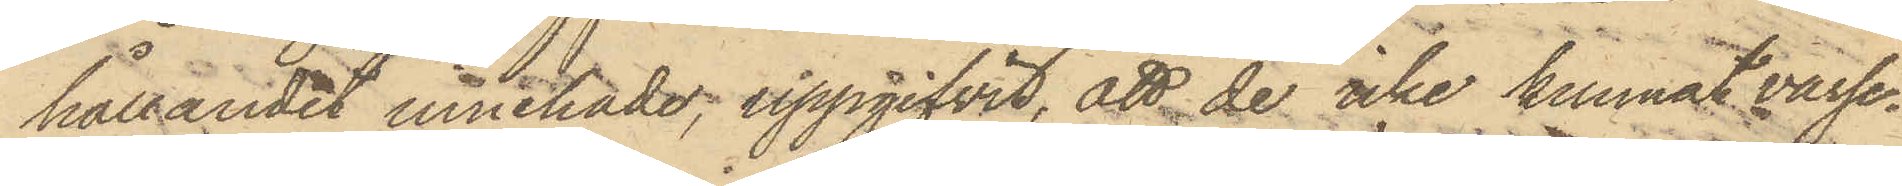hållandet innehade, uppgifvit, att de icke kunnat varse¬
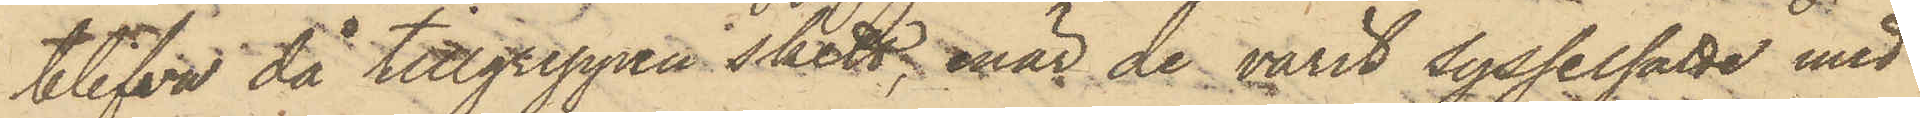blifva då tillgreppen skett, enär de varit sysselsatte med
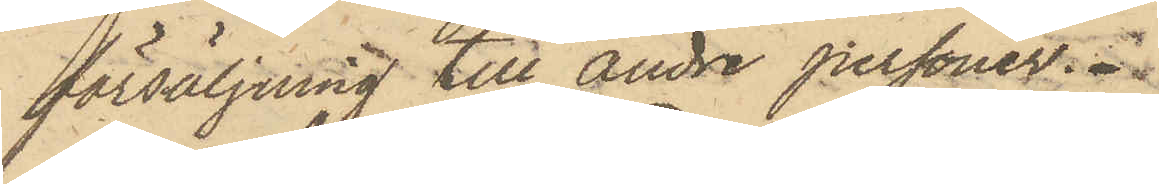försäljning till andre personer.
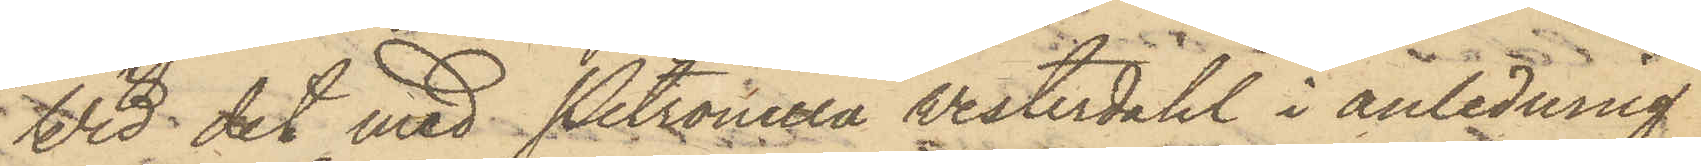Wid det med Petronella Westerdahl i anledning
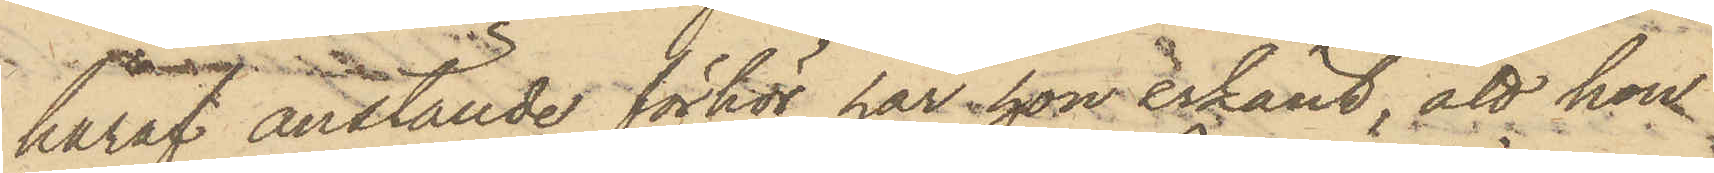häraf anställde förhör har hon erkänt, att hon
